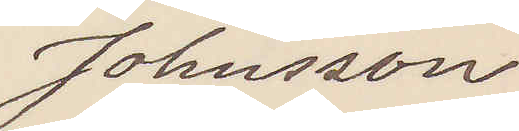Johnsson
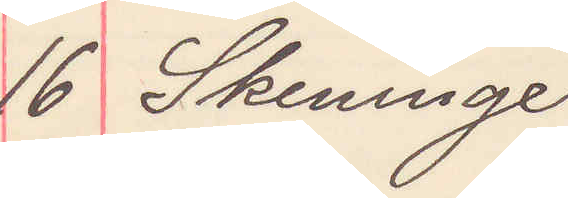16 Skeninge
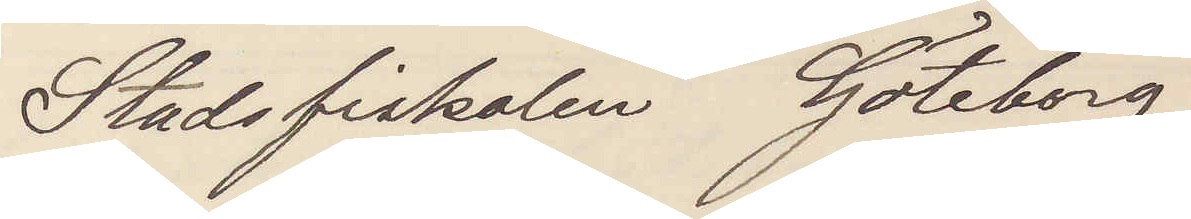Stadsfiskalen Göteborg
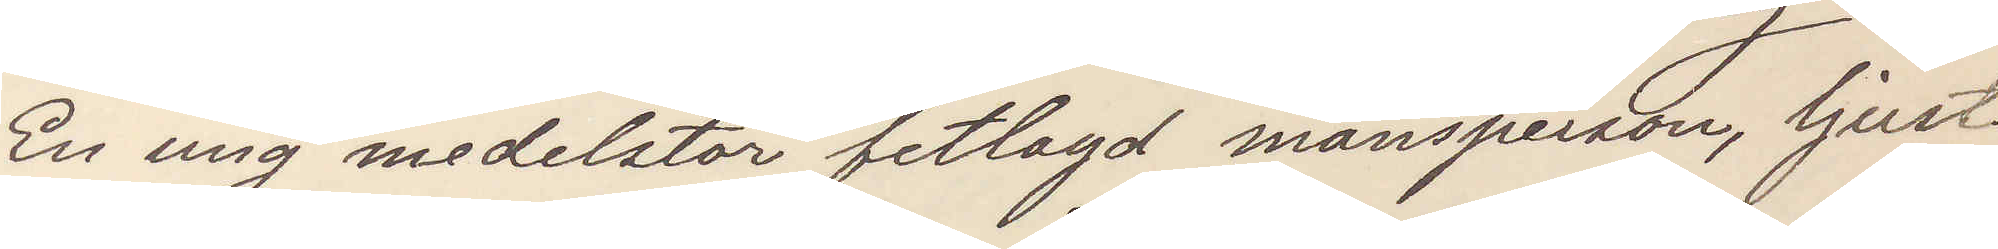En ung medelstor fetlagd mansperson, ljust
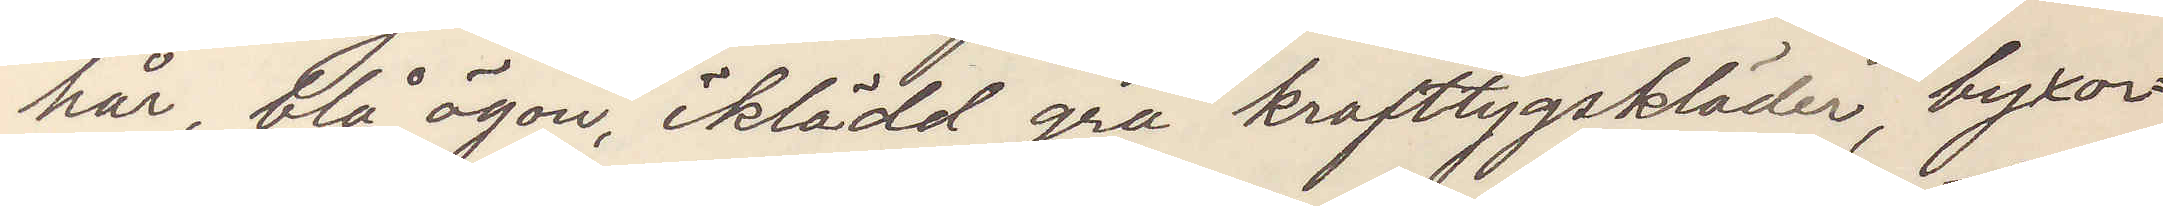hår, blå ögon, iklädd grå krafttygskläder, byxor¬
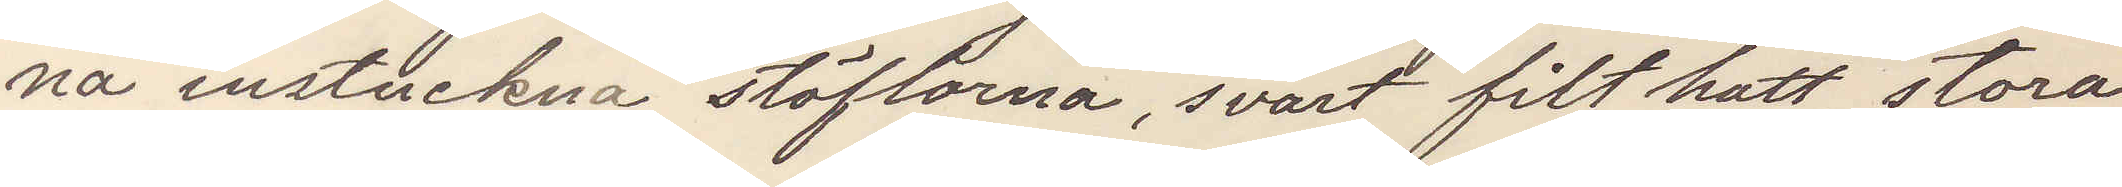na instuckna stöflorna, svart filthatt, stora
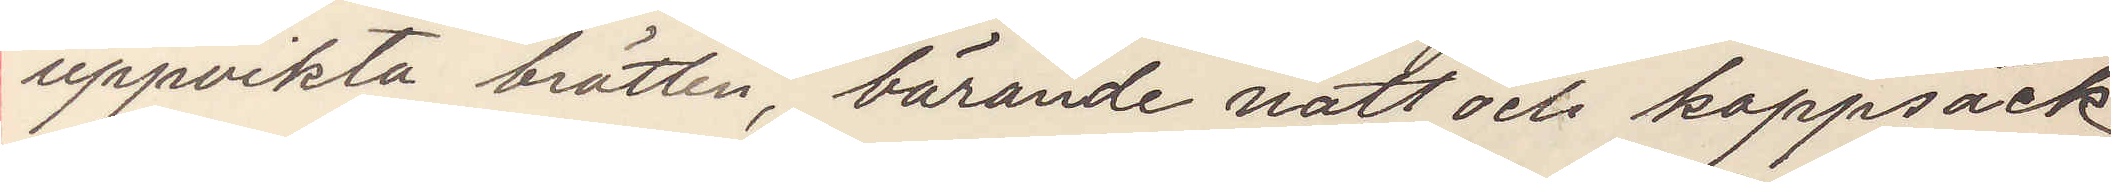uppvikta brätten, bärande natt och kappsäck
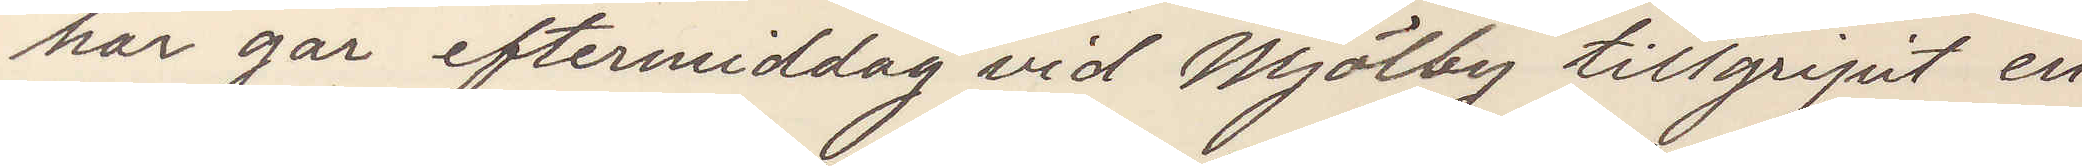har går eftermiddag vid Mjölby tillgripit en
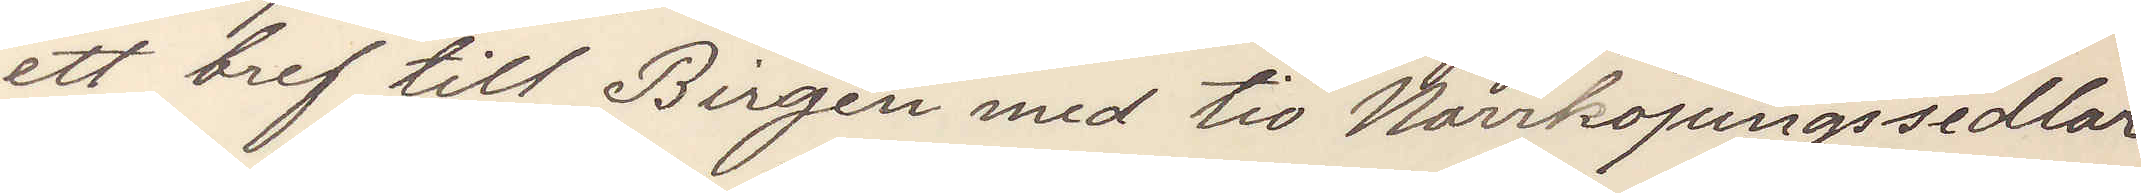ett bref till Birgén med tio Norrköpingssedlar
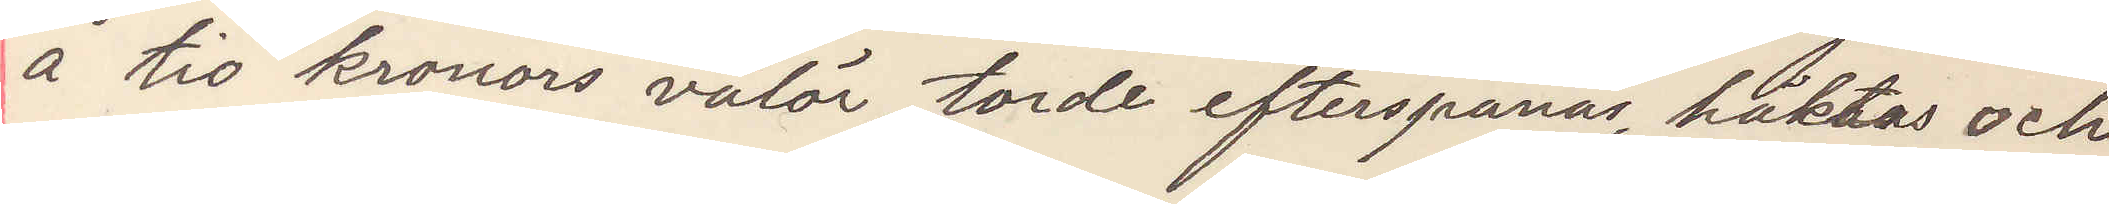å tio kronors valör, torde efterspanas, häktas och
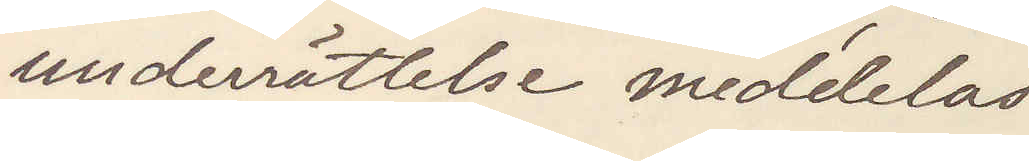underrättelse meddelas.
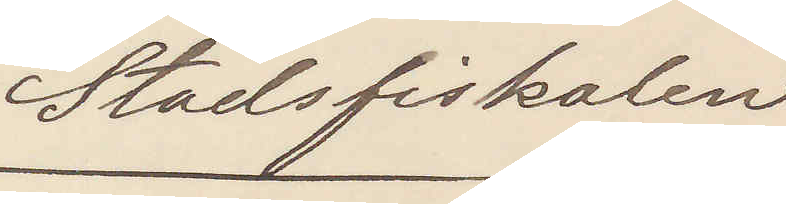Stadsfiskalen
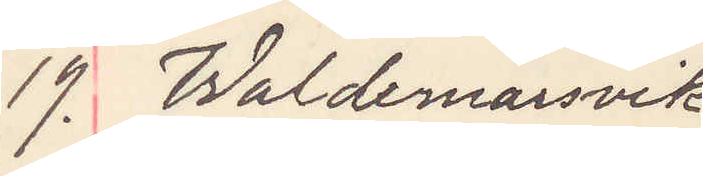19. Waldemarsvik
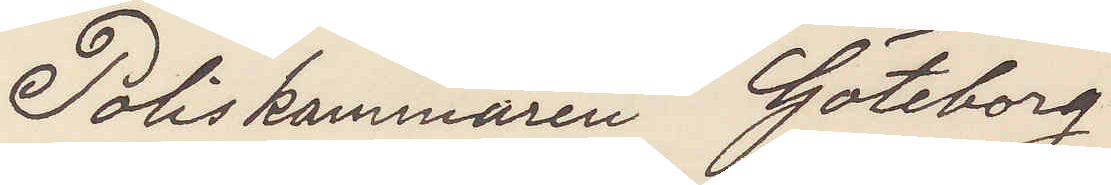Poliskammaren Göteborg
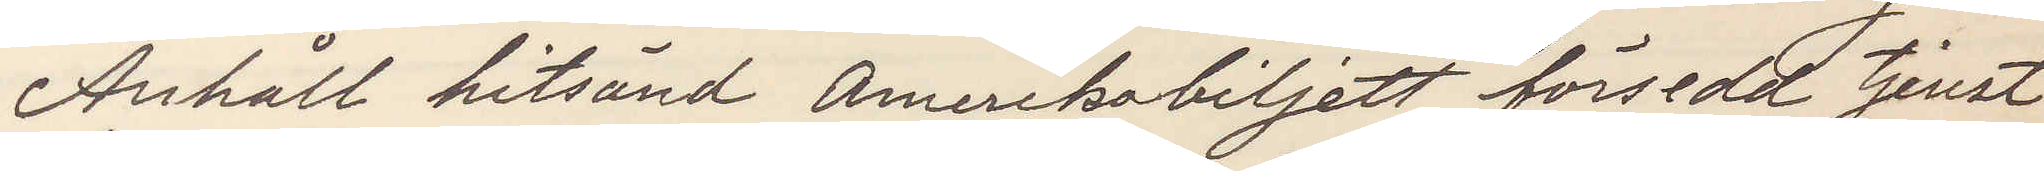Anhåll hitsänd, Amerikabiljett försedd tjenst
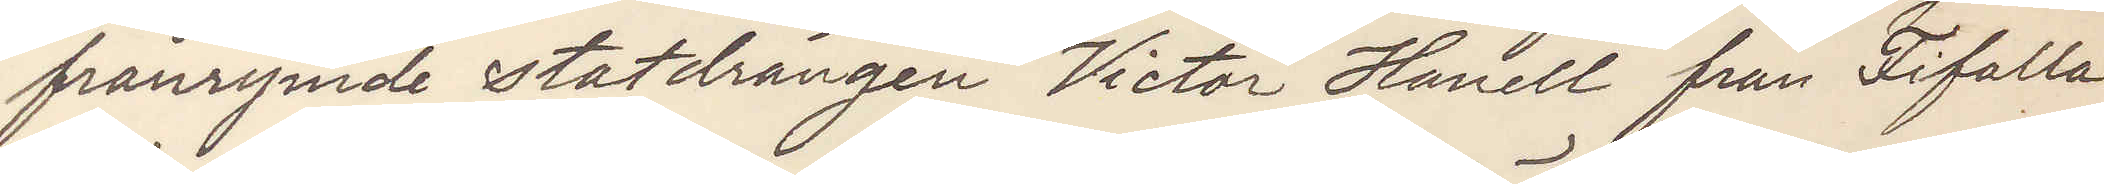från rymde statdrängen Victor Hanell från Fifalla
